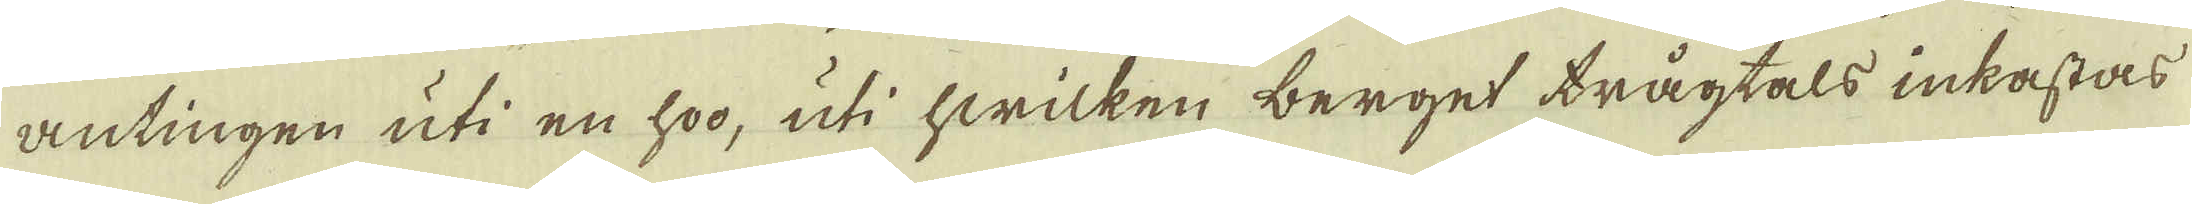antingen uti en hoo, uti hwilken berget trågtals inkastas
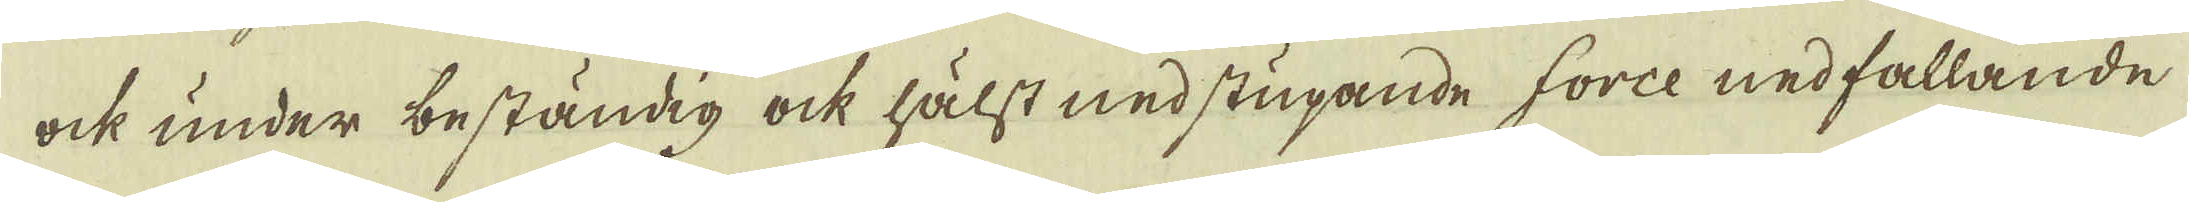ock under beständig ock hälst nedstupande force nedfallande
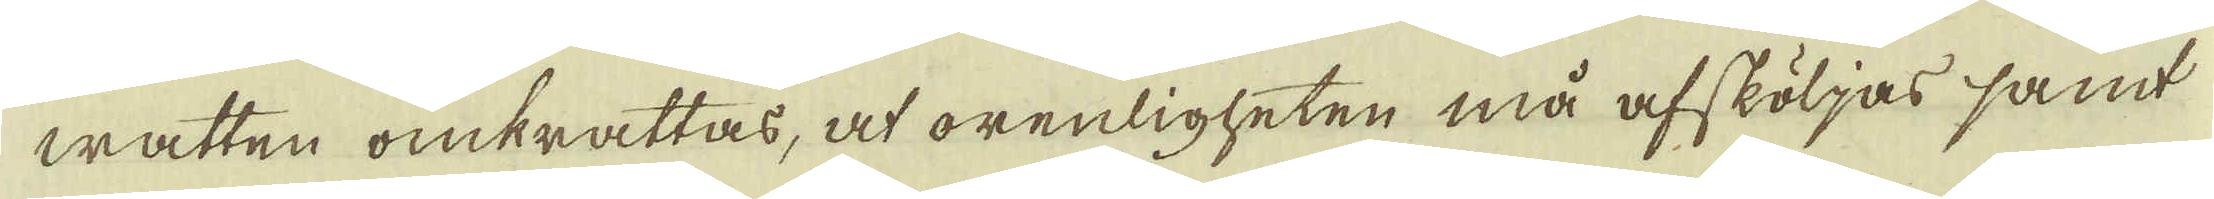watten omkrattas, at orenligheten må afsköljas samt
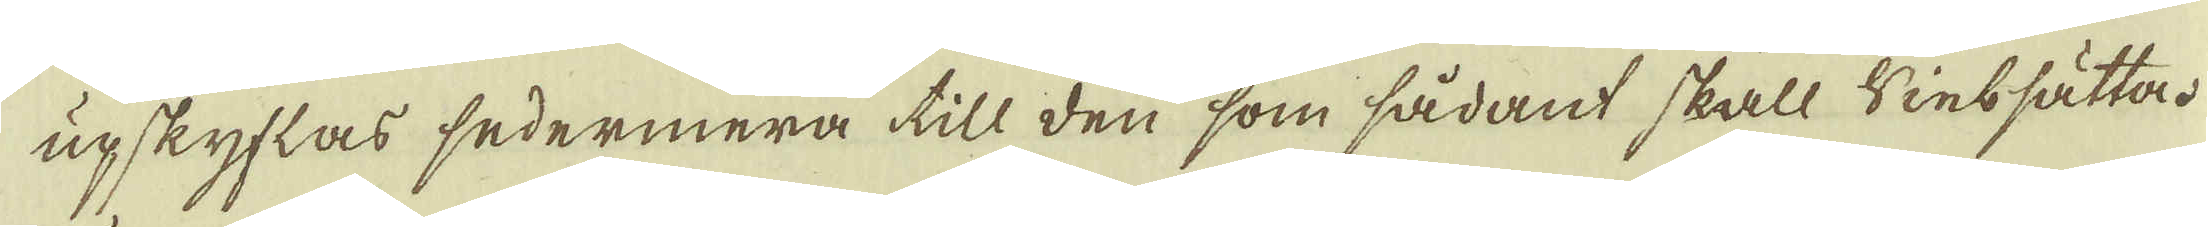upskyflas sedermera till den som sådant skall Sintsätta.
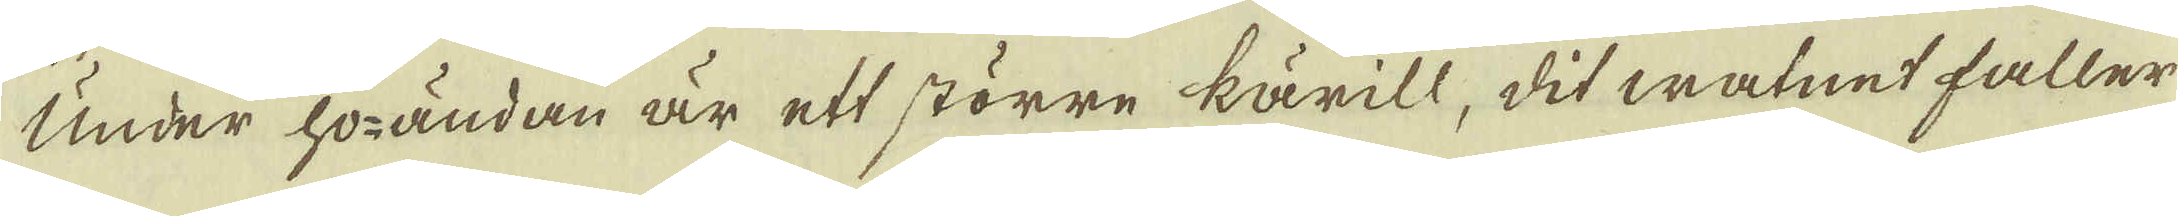Under hoändan är ett större kärill, dit watnet faller
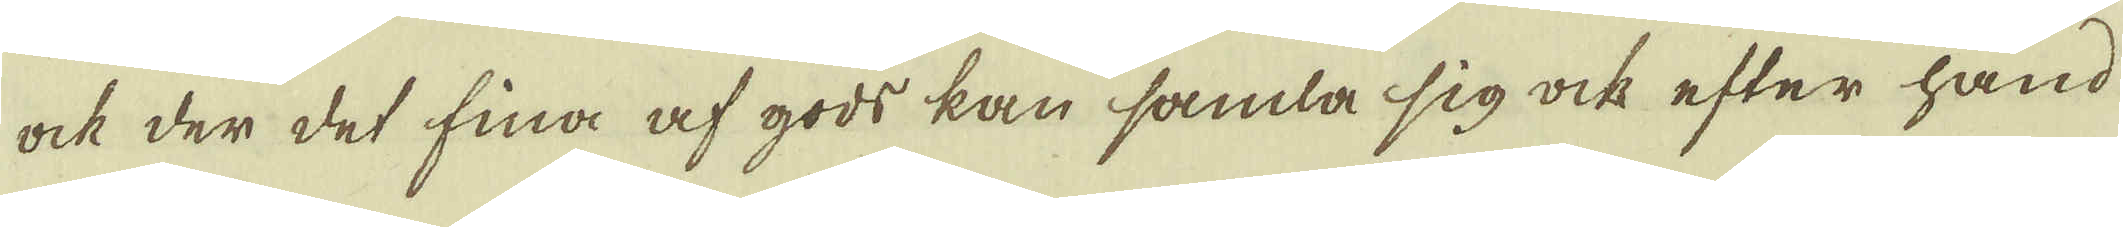ock der det fina af gods kan samla sig ock efter hand
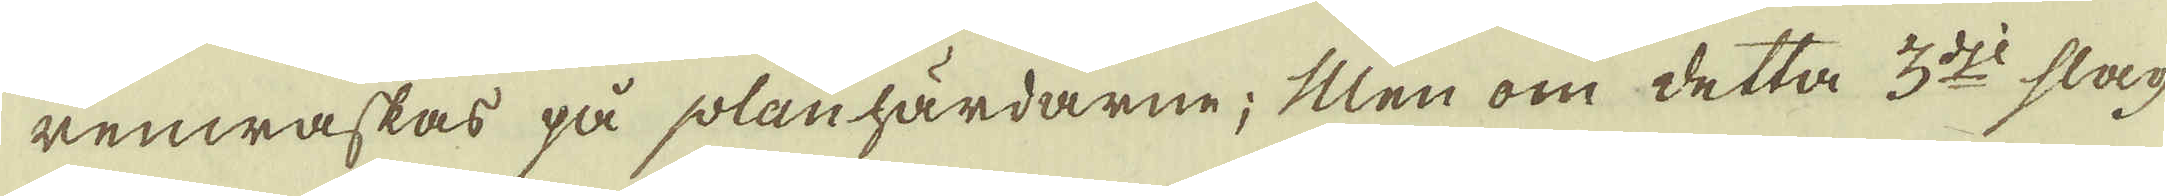renwaskas på planhärdarne; Men om detta 3:dje slag-
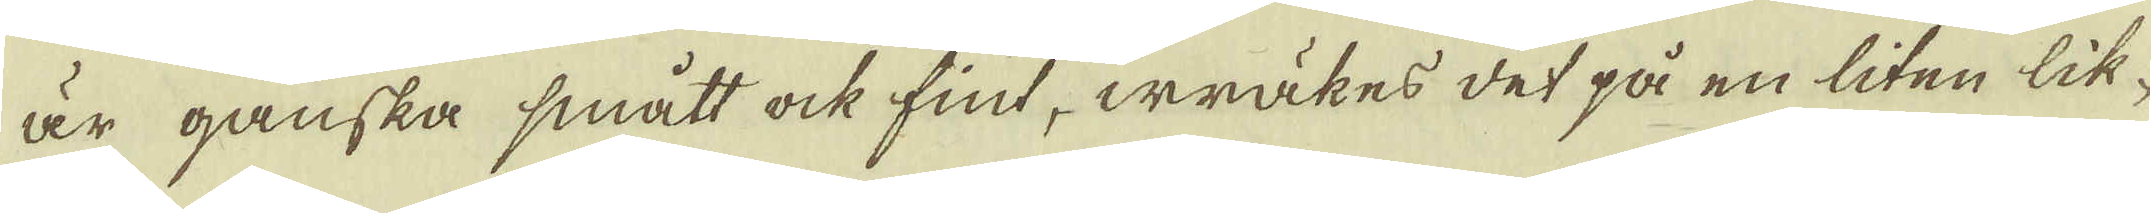är ganska smått ock fint, wräkes det på en liten lik-
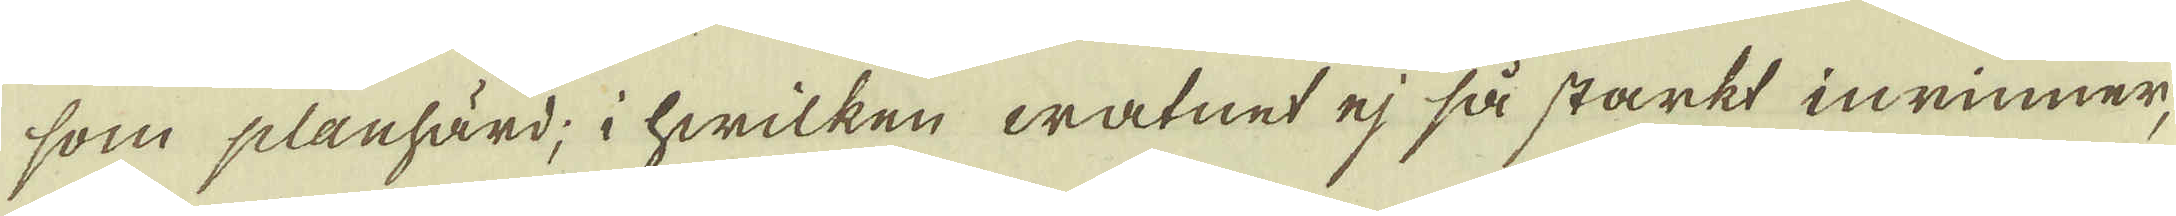som planhärd; i hwilken watnet ej så starkt inrinner,
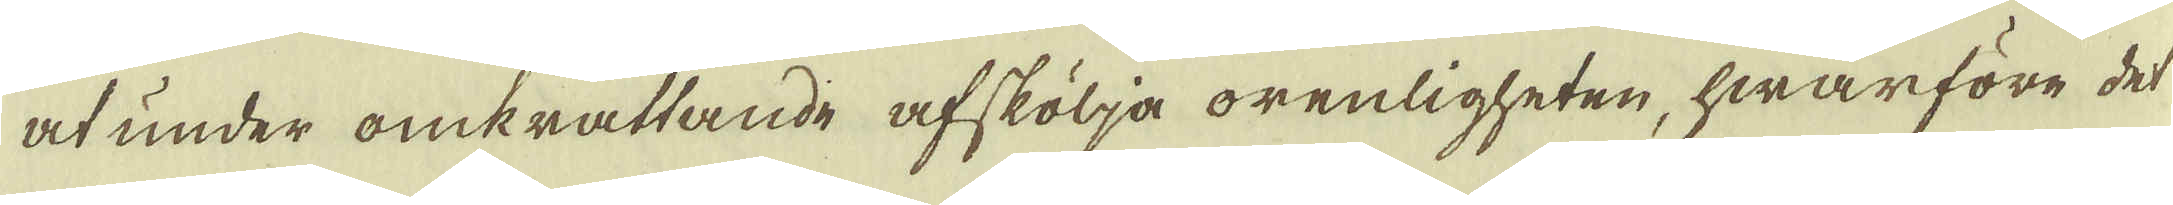at under omkrattande afskölja orenligheten, hwarföre det
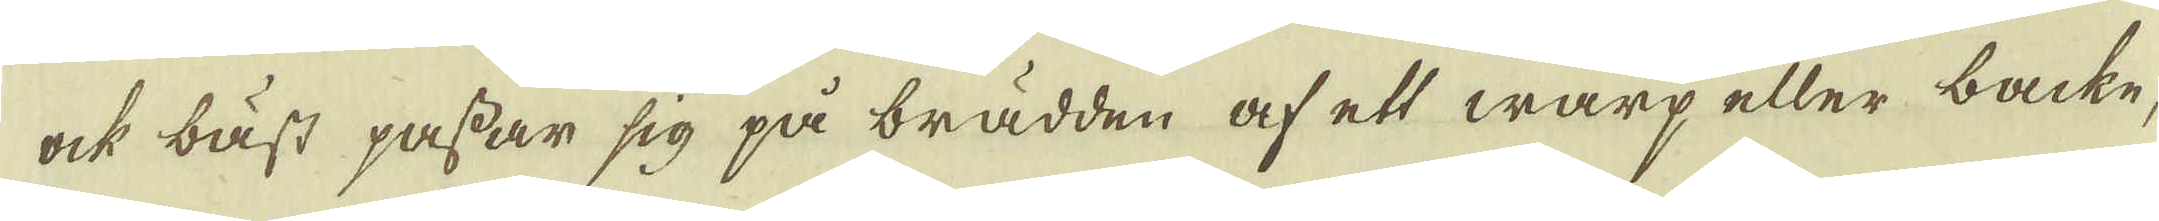ock bäst passar sig på brädden af ett warp eller backe,
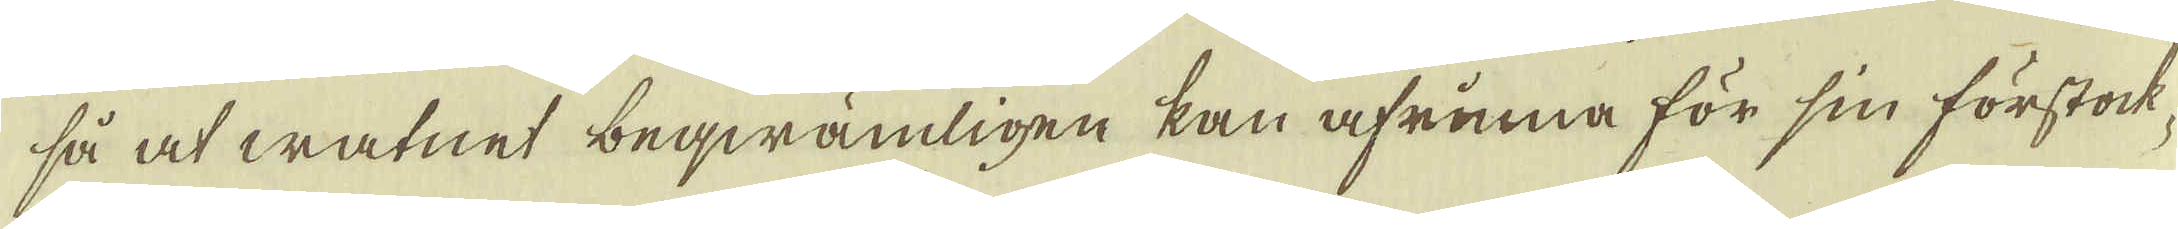så at watnet beqwämligen kan afrinna för sin förstock
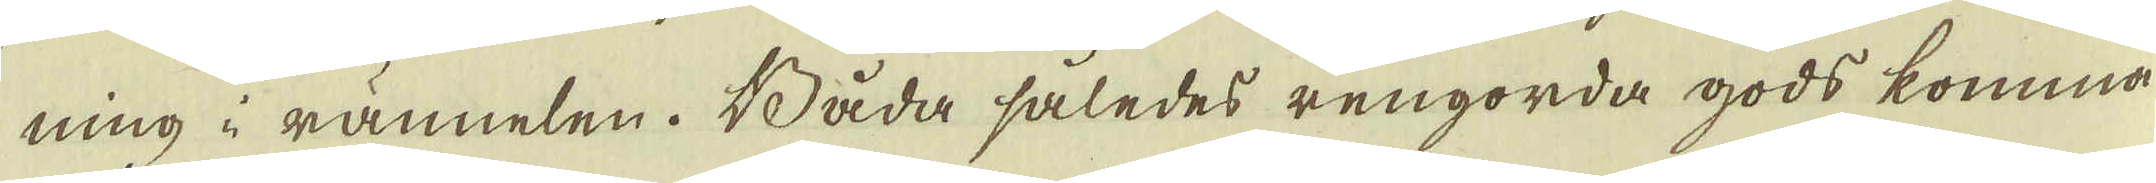ning i rännelen. Båda således rengorda gods komma
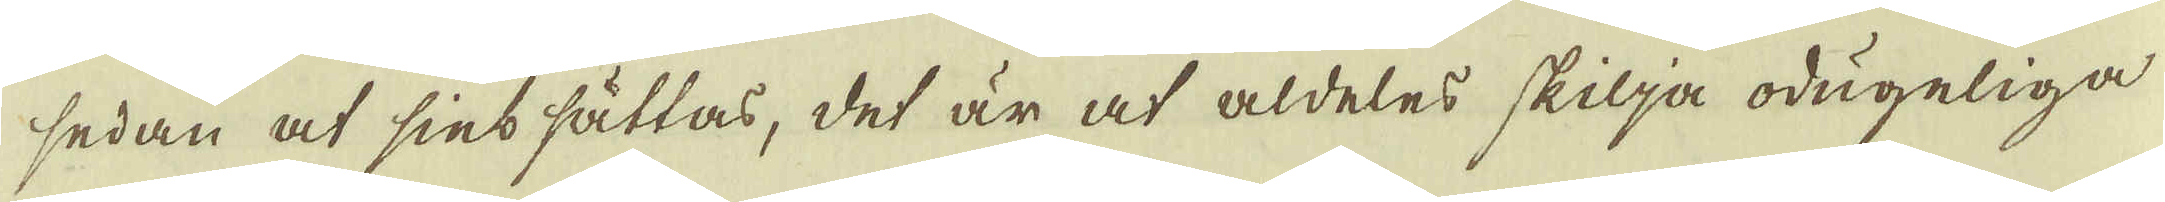sedan at sintsättas, det är at aldeles skilja odugeliga
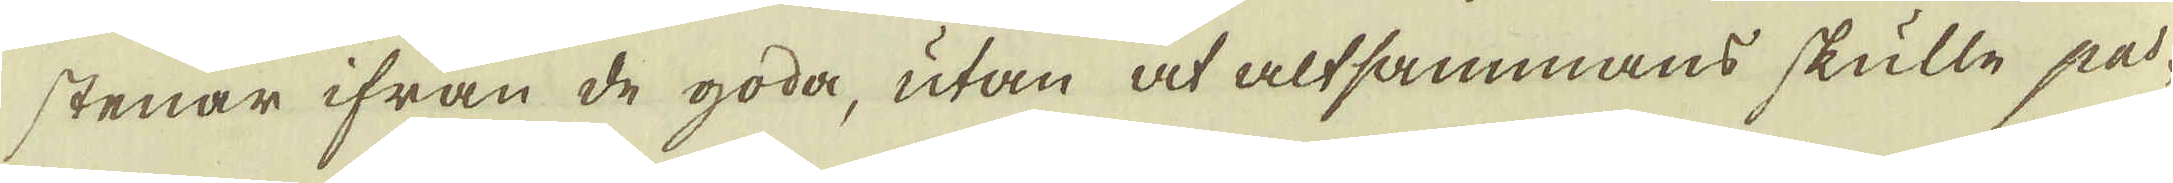stenar ifrån de goda, utan at altsammans skulle pa-
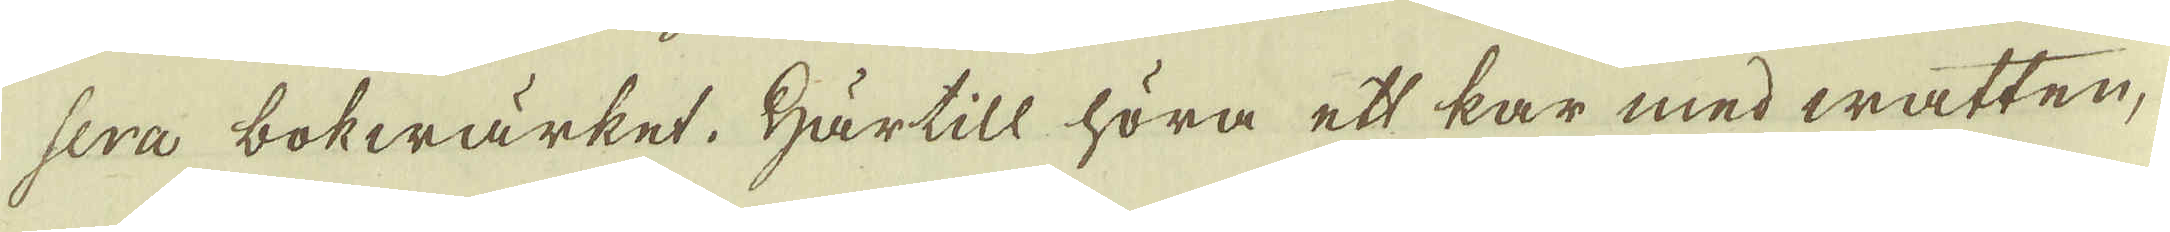sera bokwärket. Härtill höra ett kar med watten,
